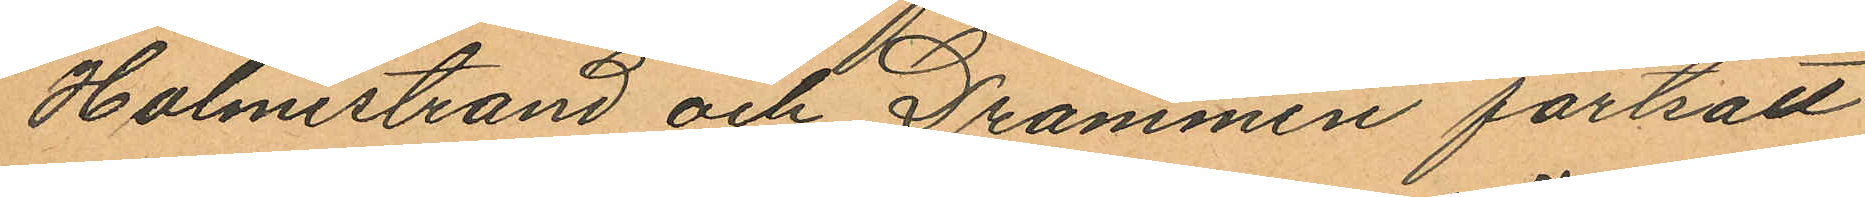Holmestrand och Drammen fortsatt
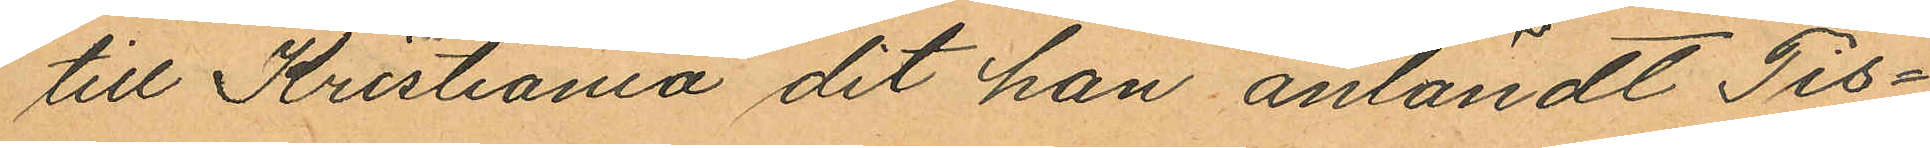till Kristiania dit han anländt Tis¬
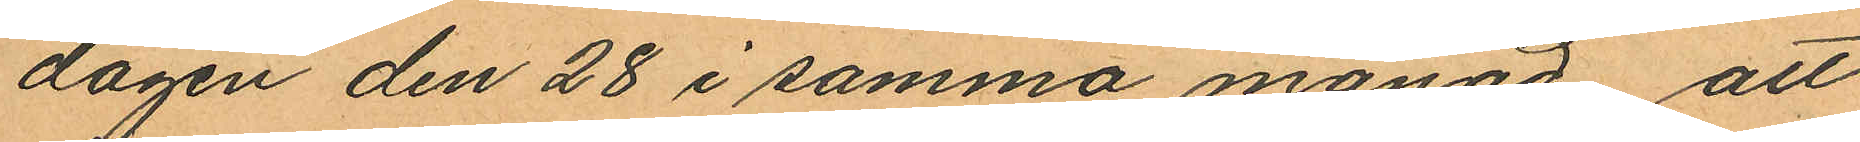dagen den 28 i samma månad, att
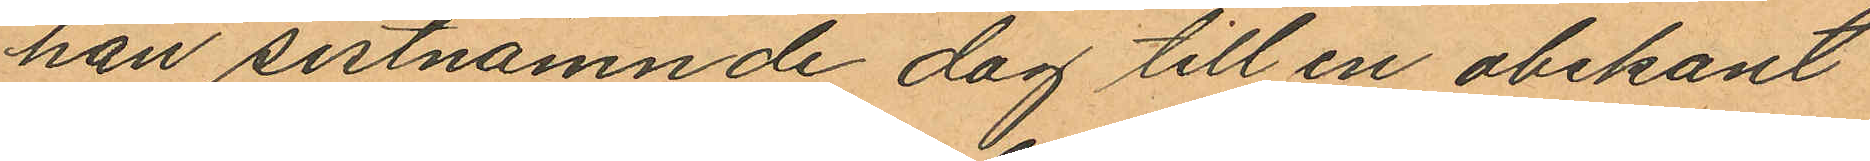han sistnämnde dag till en obekant
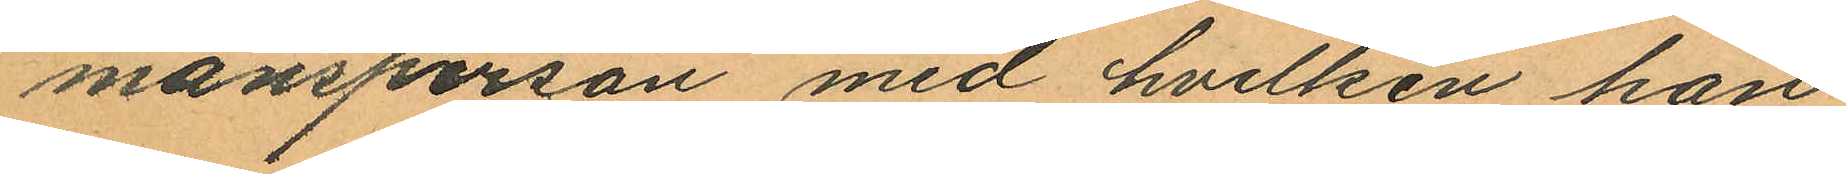mansperson, med hvilken han
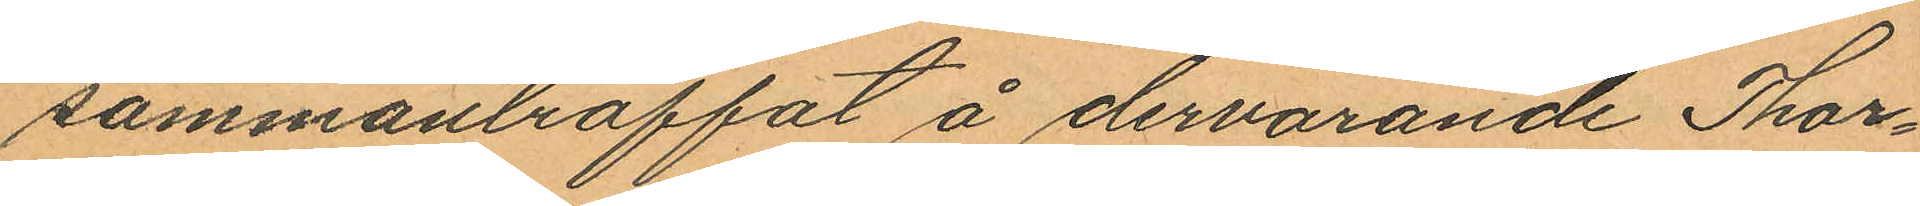sammanträffat å dervarande Thor¬
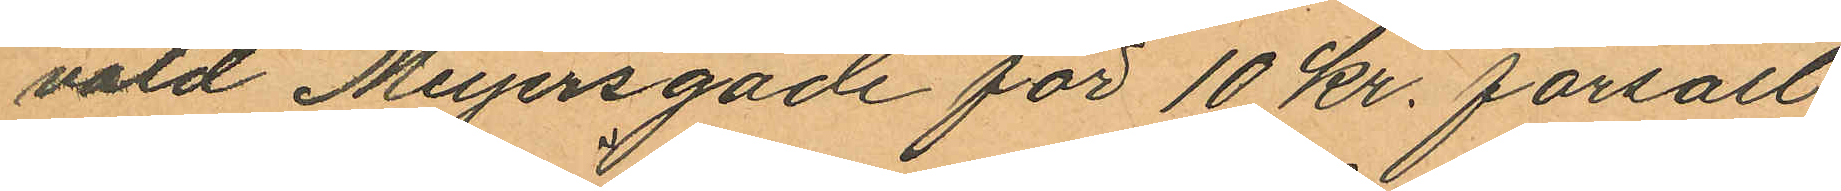vald Meyersgade för 10 kr. försålt
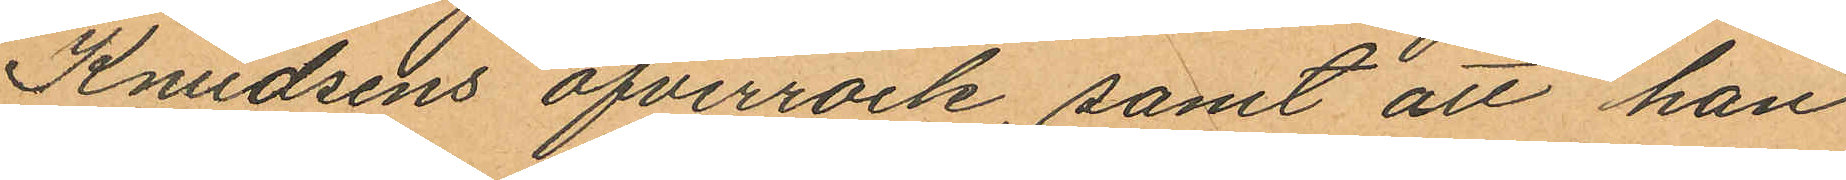Knudsens öfverrock, samt att han
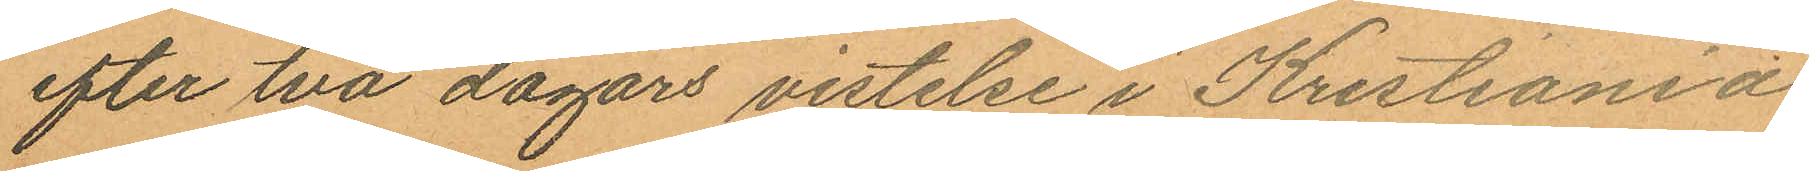efter två dagars vistelse i Kristiania
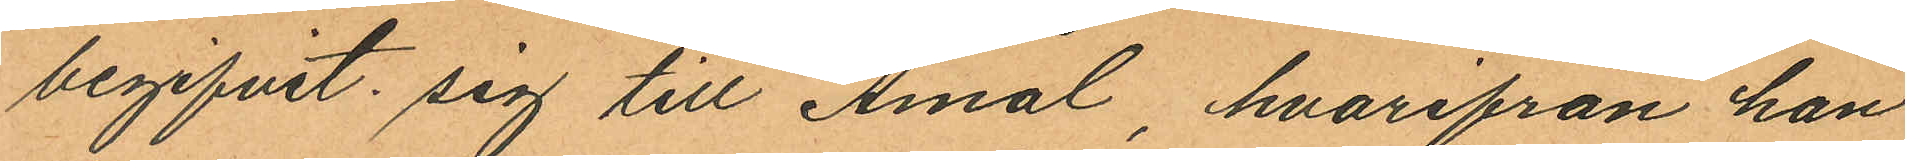begifvit sig till Åmål hvarifrån han
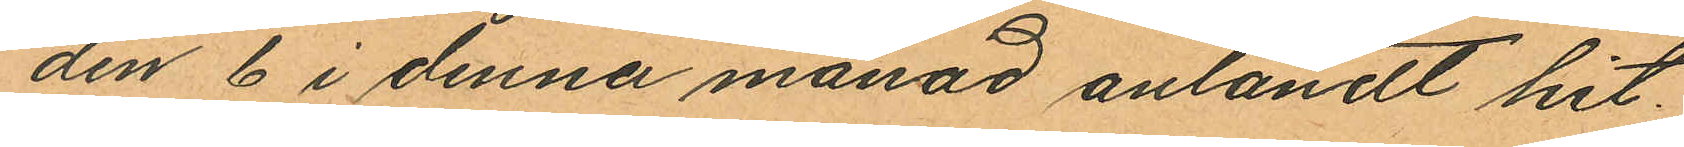den 6 i denna månad anländt hit.
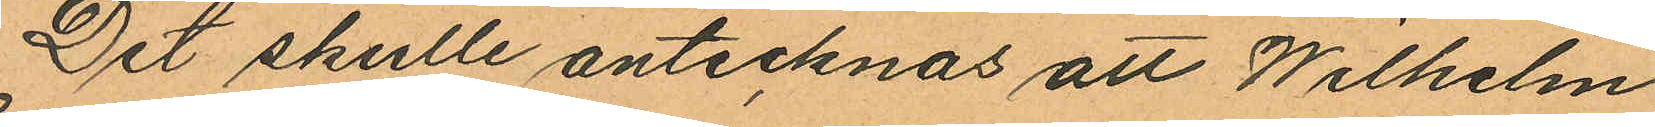Det skulle antecknas att Wilhelm
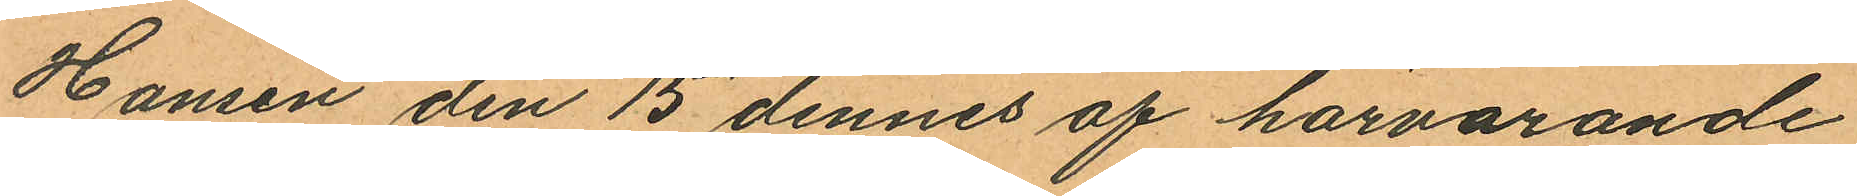Hansen den 15 dennes af härvarande
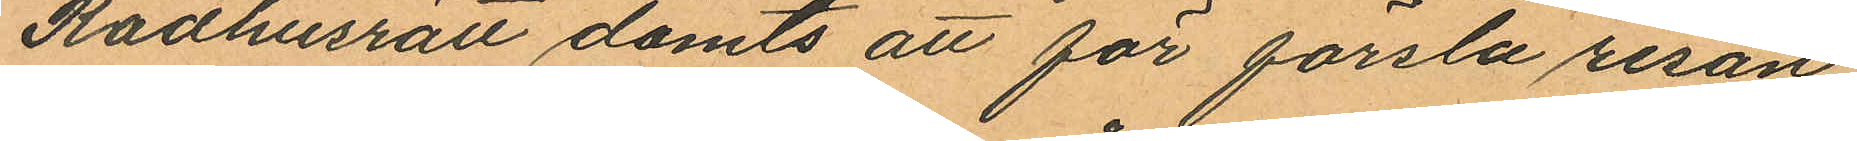Rådhusrätt dömts att för försla resan
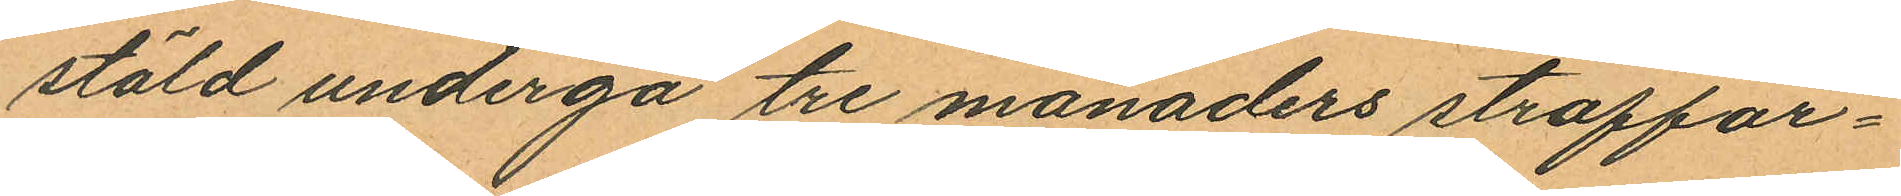stöld undergå tre månaders straffar¬
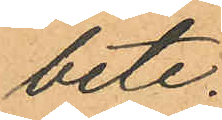bete.
